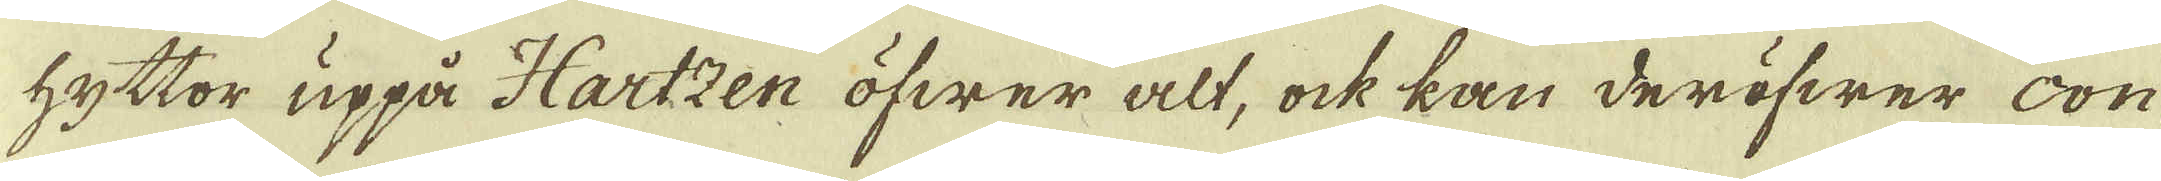hyttor uppå Hartzen öfwer alt, ock kan deröfwer con-
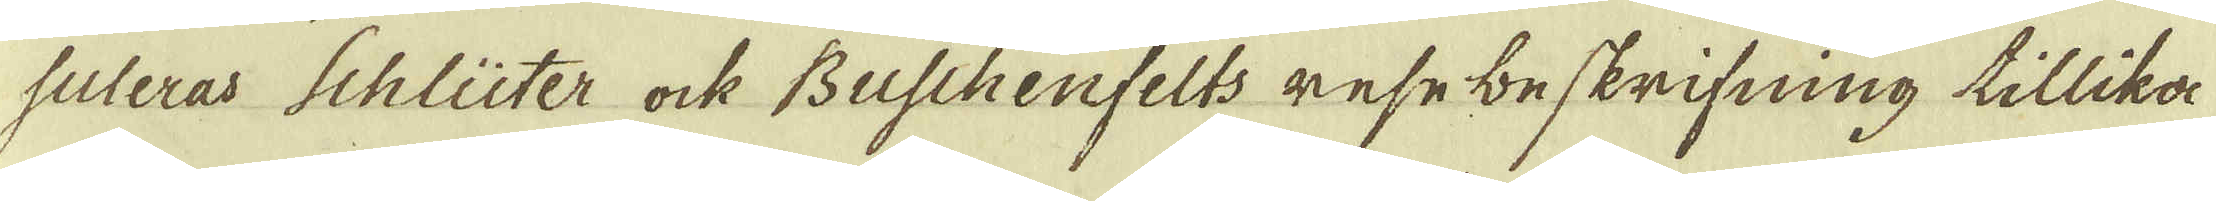suleras Schlüter ock Buschenfelts rese beskrifning tillika
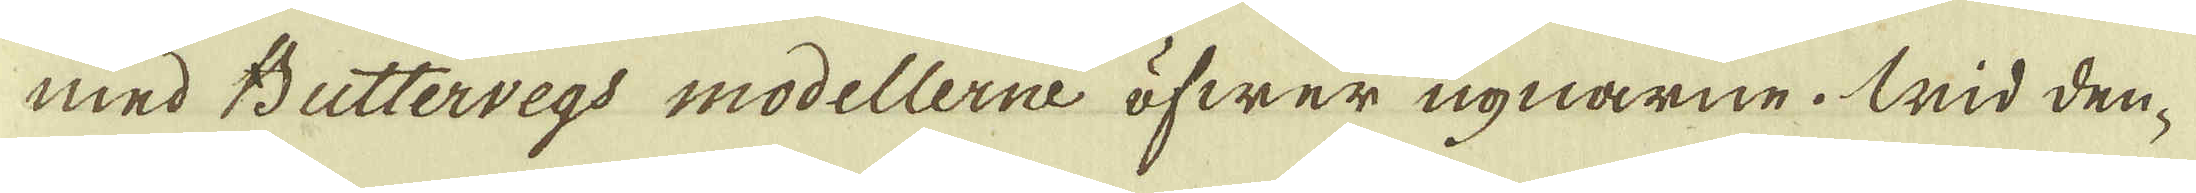med Buttervegs modellerne öfwer ugnarne. Wid den-
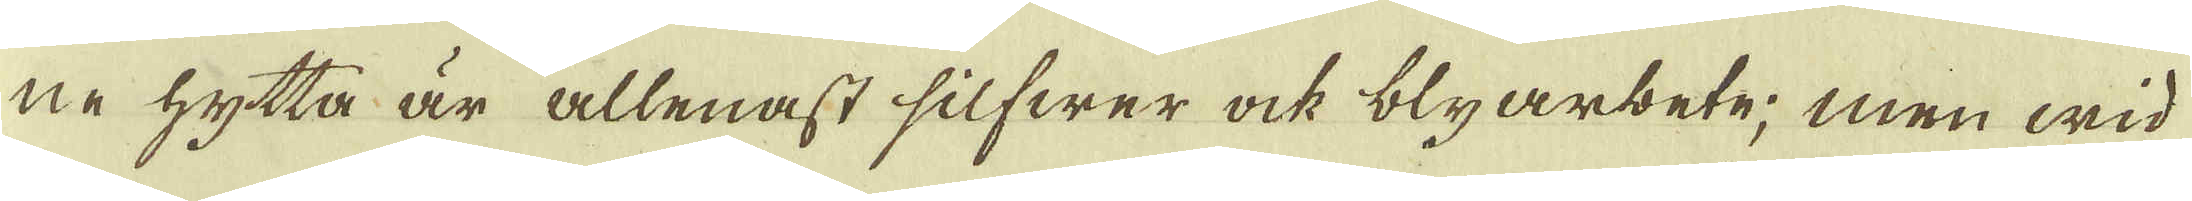ne hytta är allenast silfwer ock blyarbete; men wid
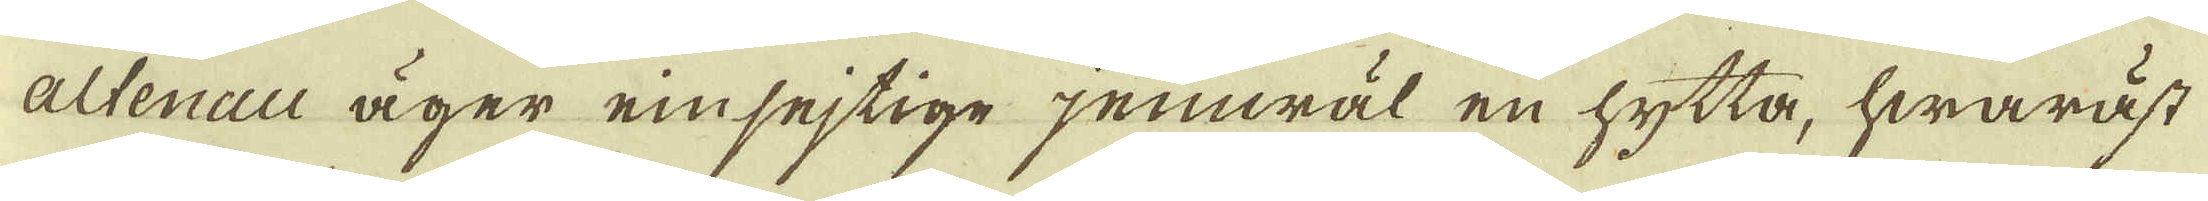altenau äger einsejtige jemwäl en hytta, hwaräst
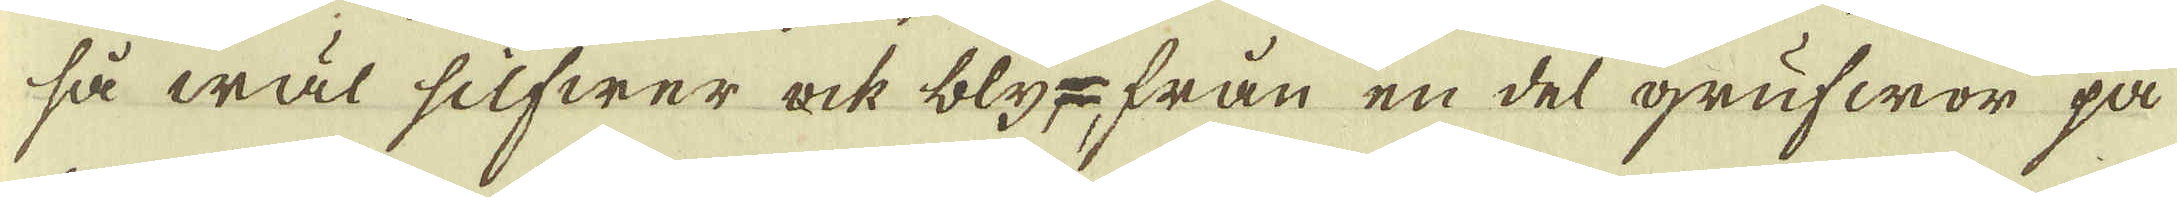så wäl silfwer ock bly-från en del grufwor på
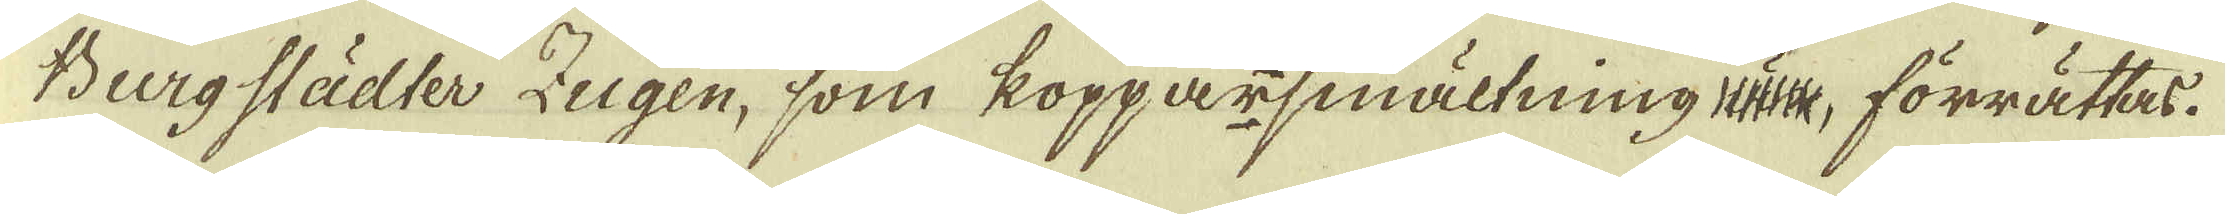Bergstädler Zugen, som kopparsmältning än, förrättas.
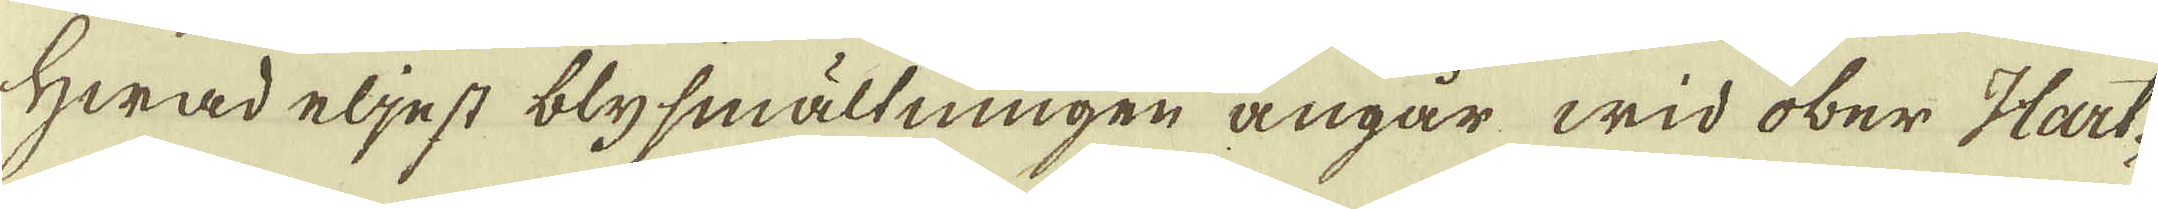Hwad eljest blysmältningen angår wid ober Hart-
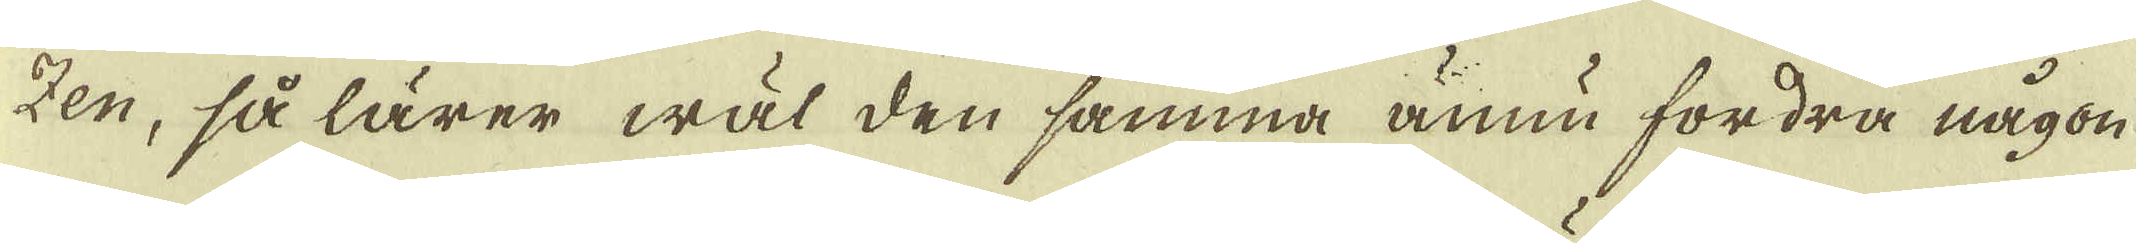zen, så lärer wäl den samma ännu fordra någon
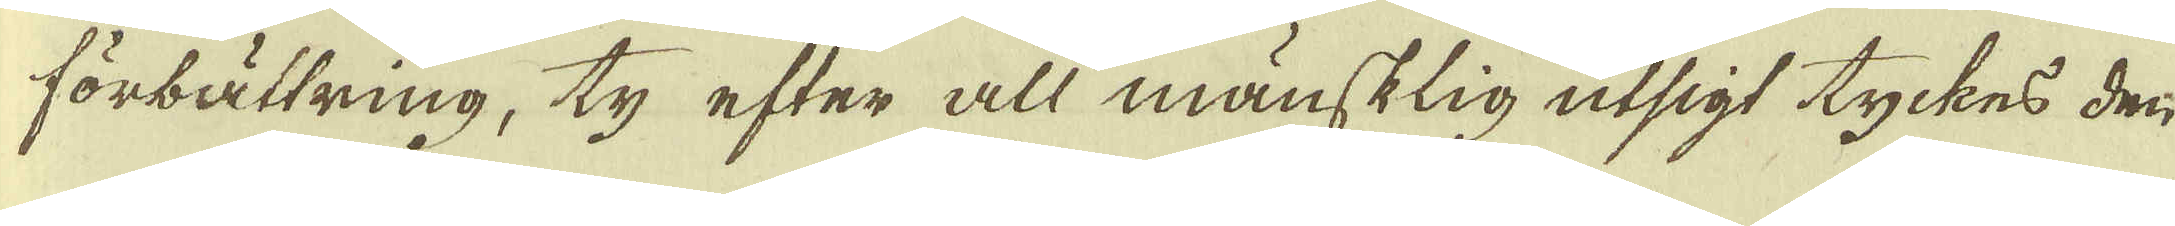förbättring, ty efter all mänsklig utsigt tyckes den
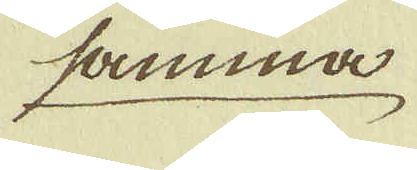samma
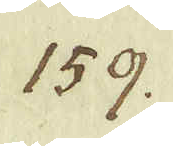159.
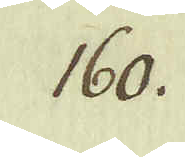160.
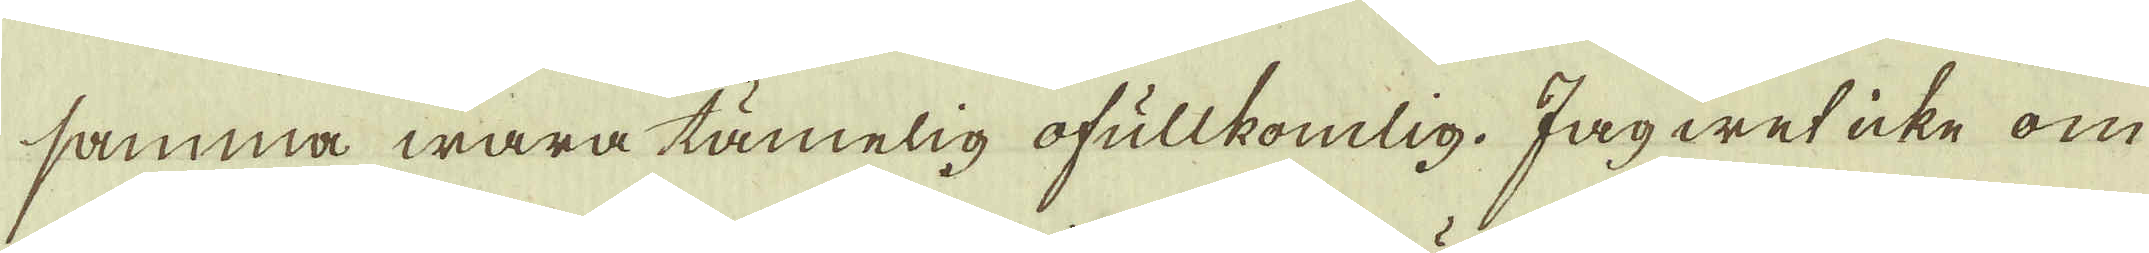samma wara tämelig ofullkomlig. Jag wet icke om
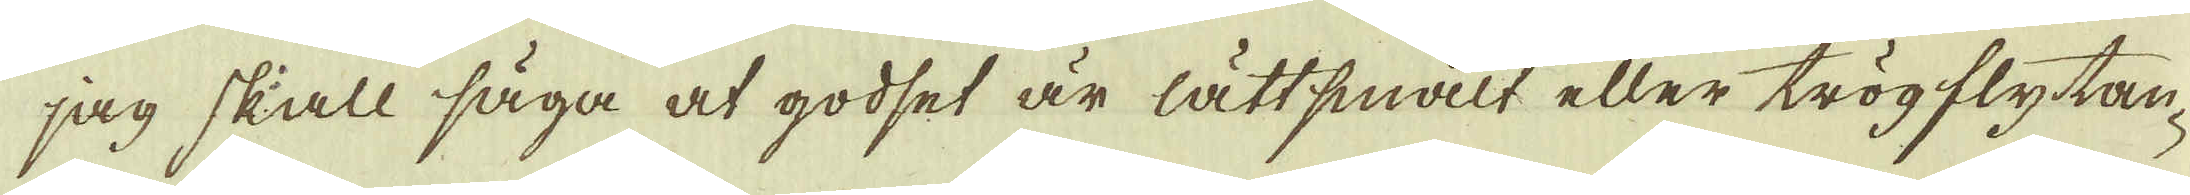jag skall säga at godset är lättsmalt eller trögflytan-
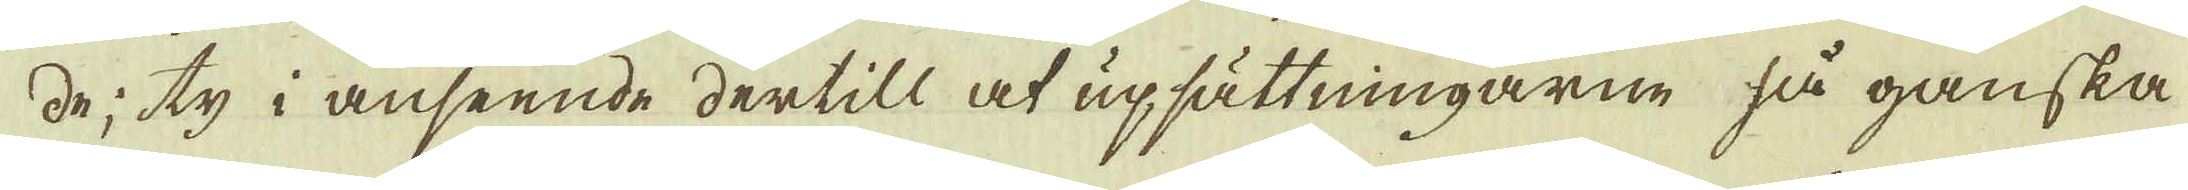de; ty i anseende dertill at upsättningarne så ganska
